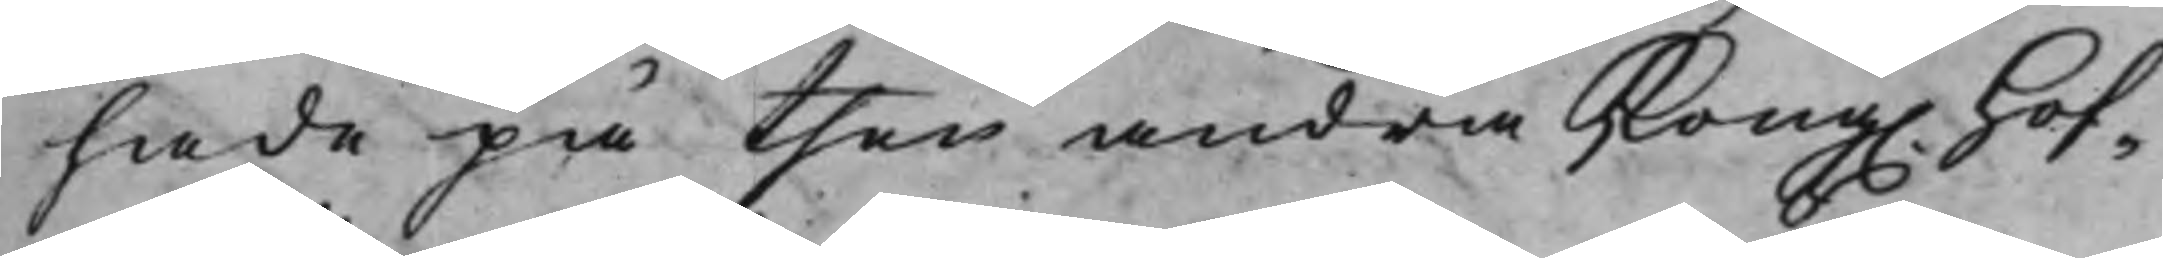hade på then andra Kong. Hof¬
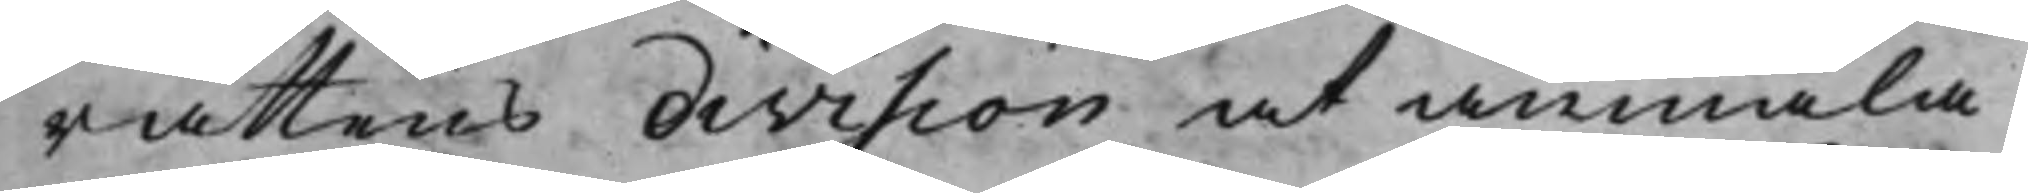rättens division at anmäla.
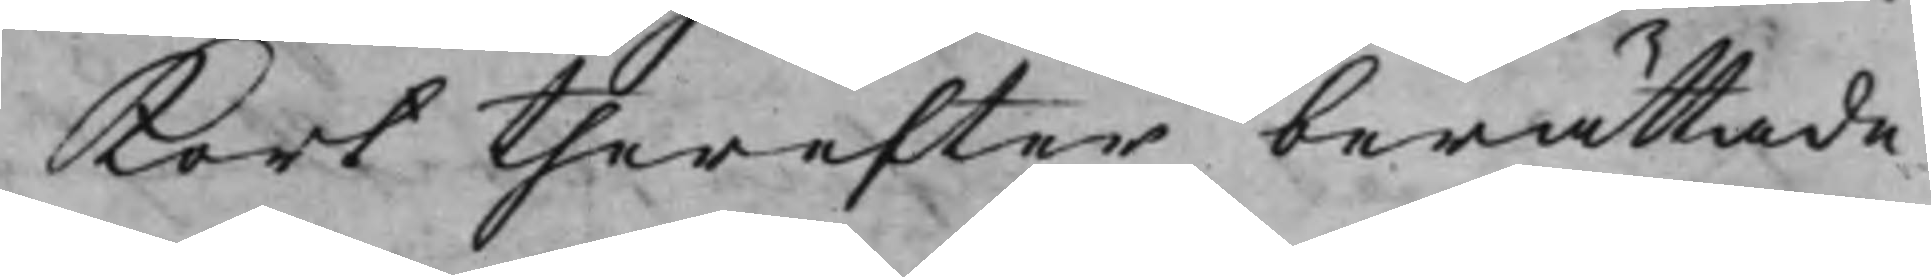Kort therefter berättade
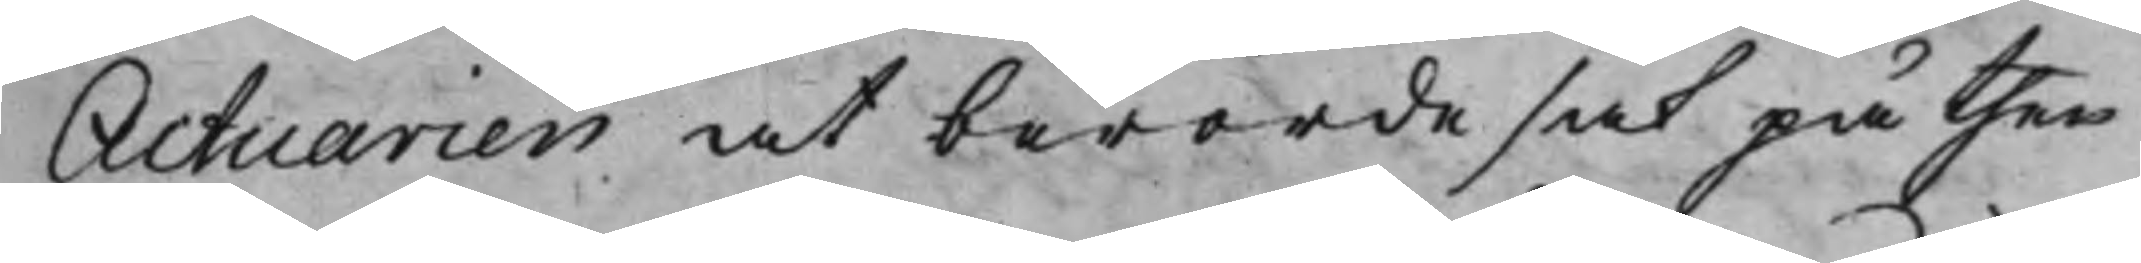Actuarien at berörde sak på then
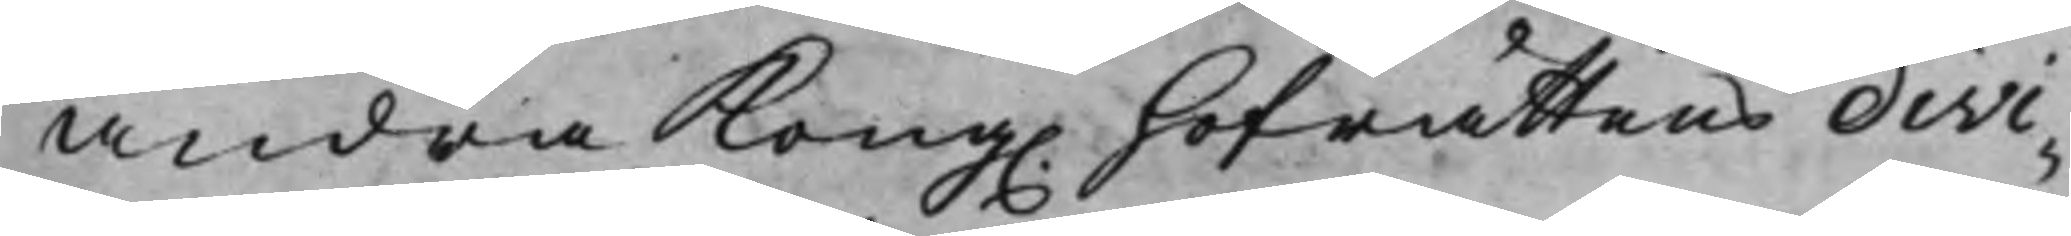andra Kong. Hofrättens divi¬
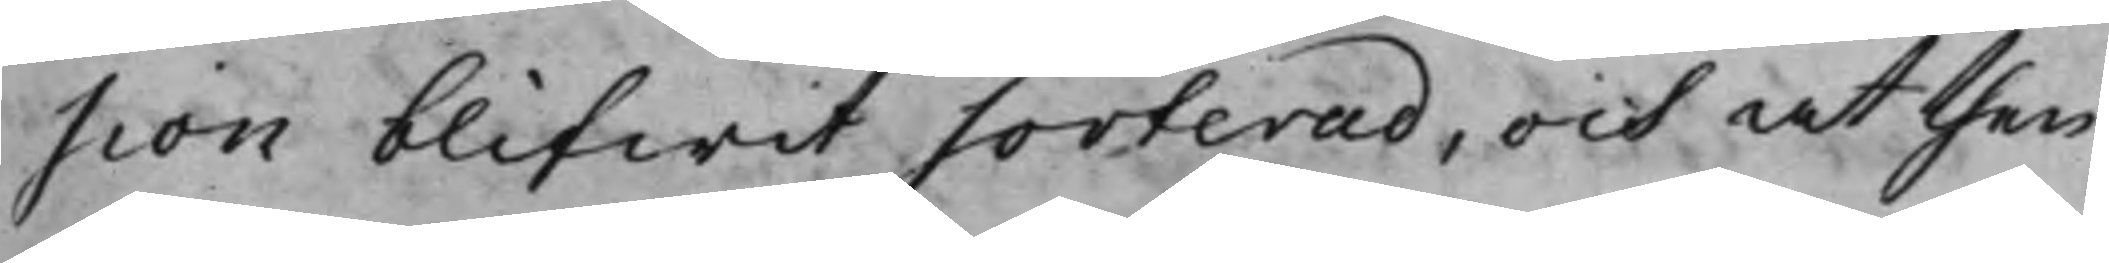sion blifwit sorterad, och at then
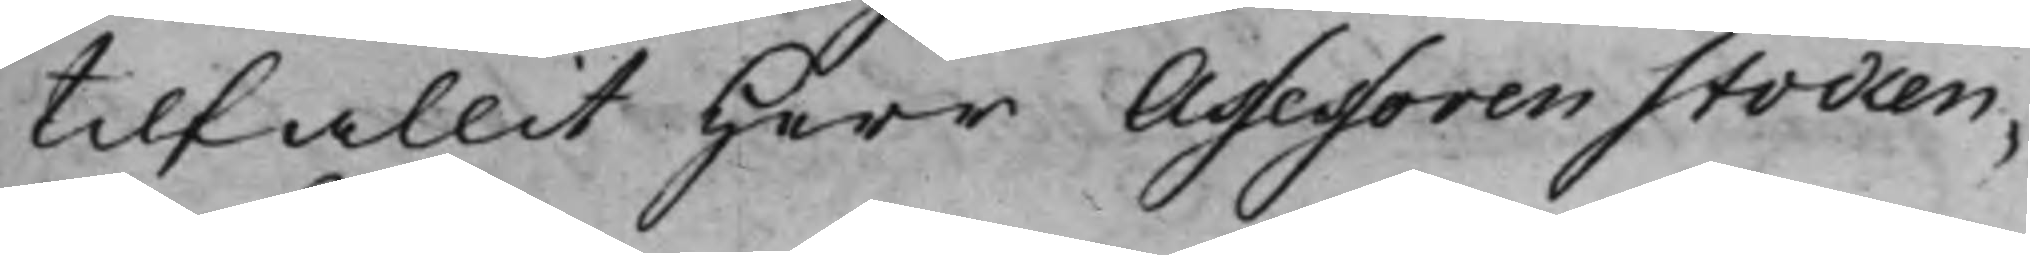tilfallit Herr Assessoren Stocken¬
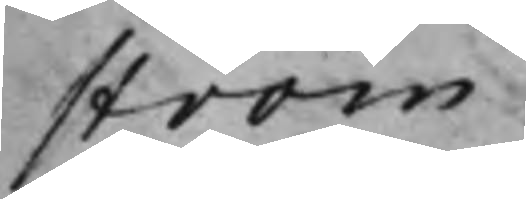ström.
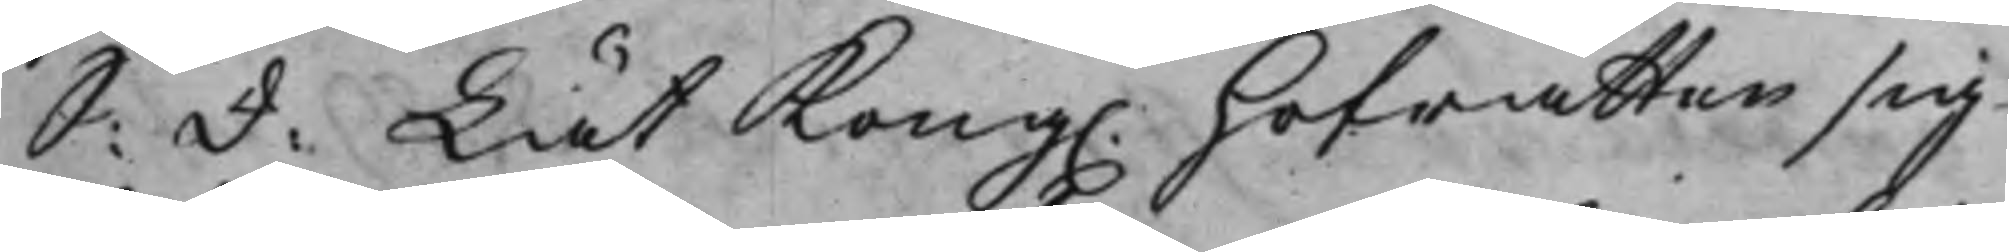S: d: Lät Kong. Hofrätten sig
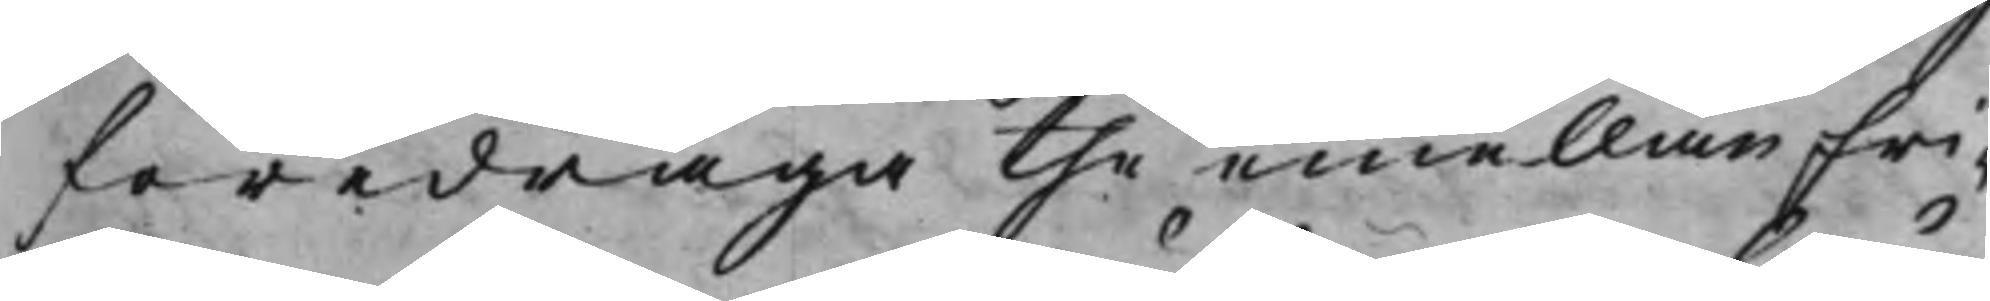föredraga the emellan Fri¬
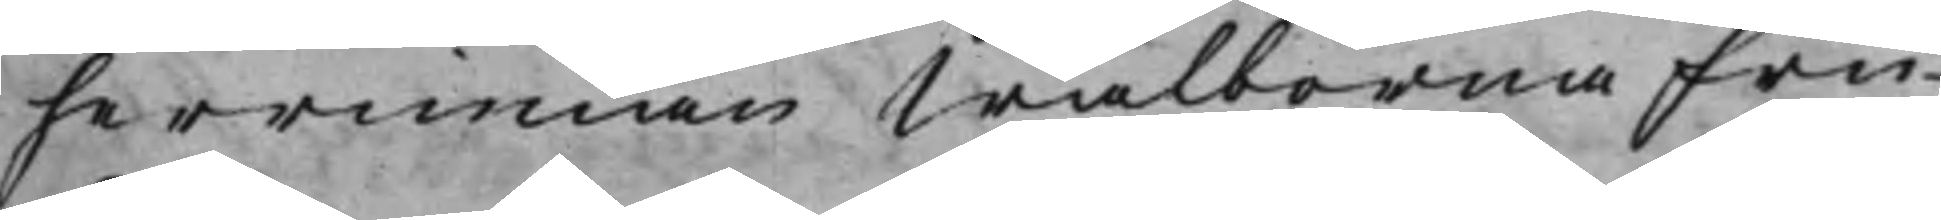herrinnan Wälborna Fru
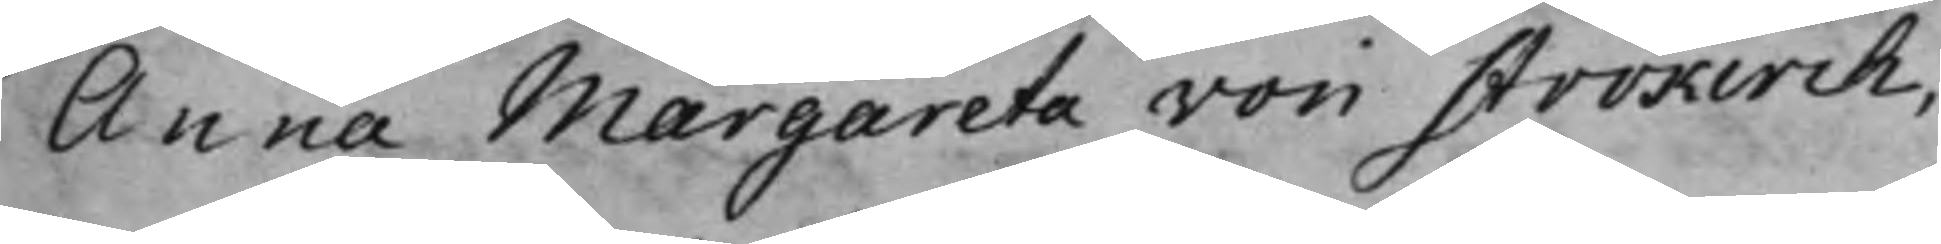Anna Margareta von Strokirch,
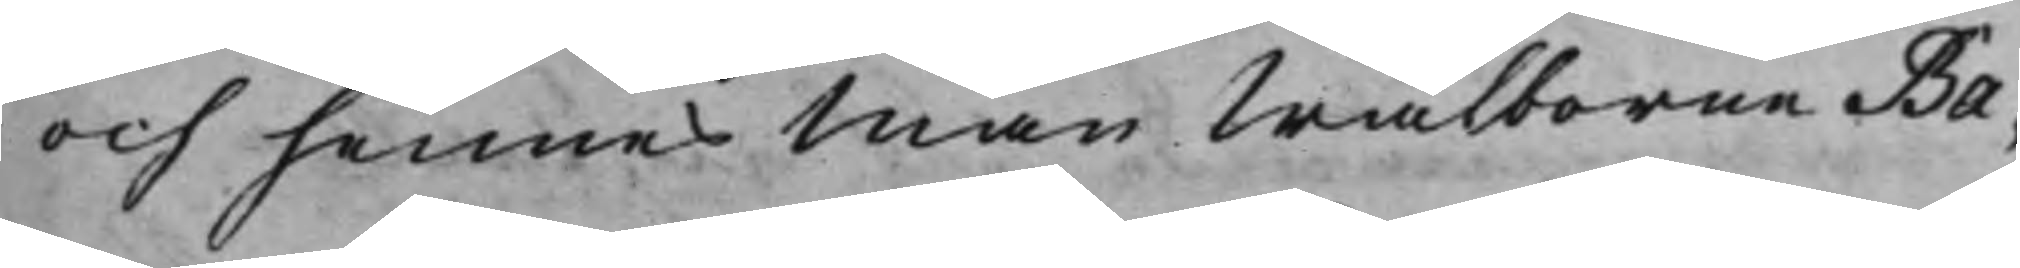och hennes Man Wälborne Ba¬
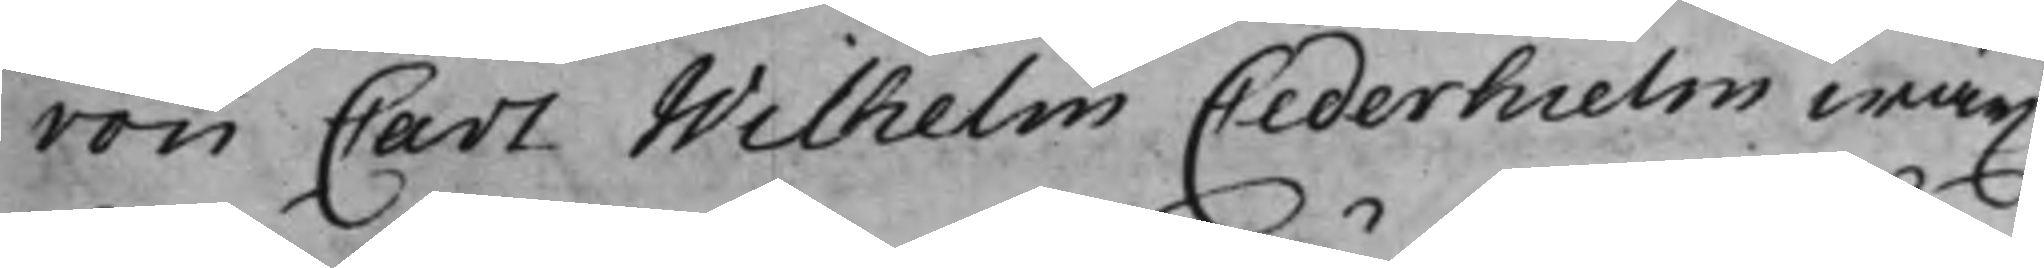ron Carl Wilhelm Cederhielm wäx¬
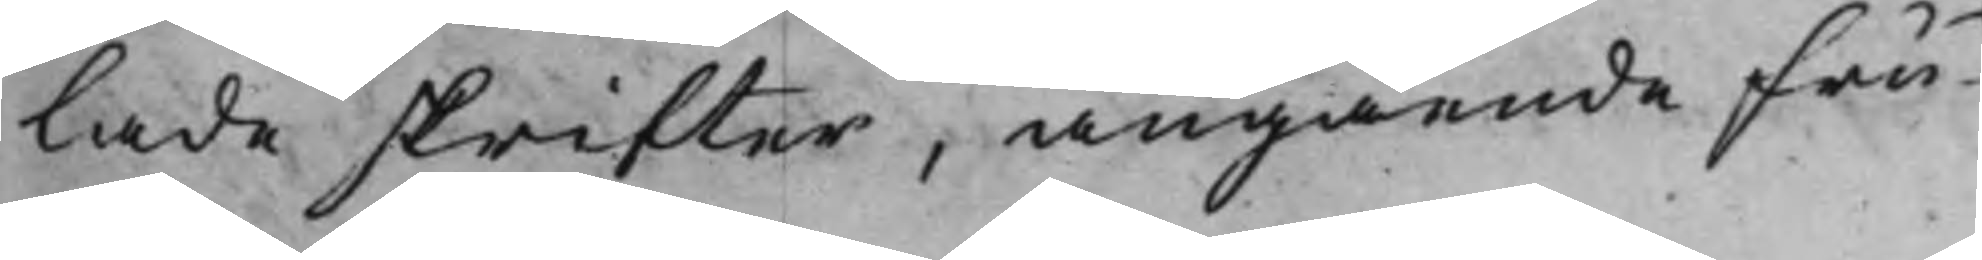lade skrifter, angående Fru
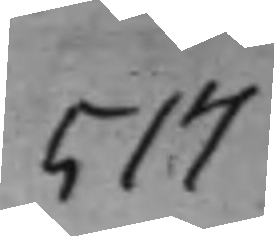517
